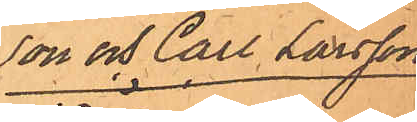son och Carl Larsson
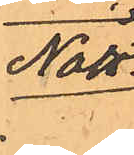Nätt.
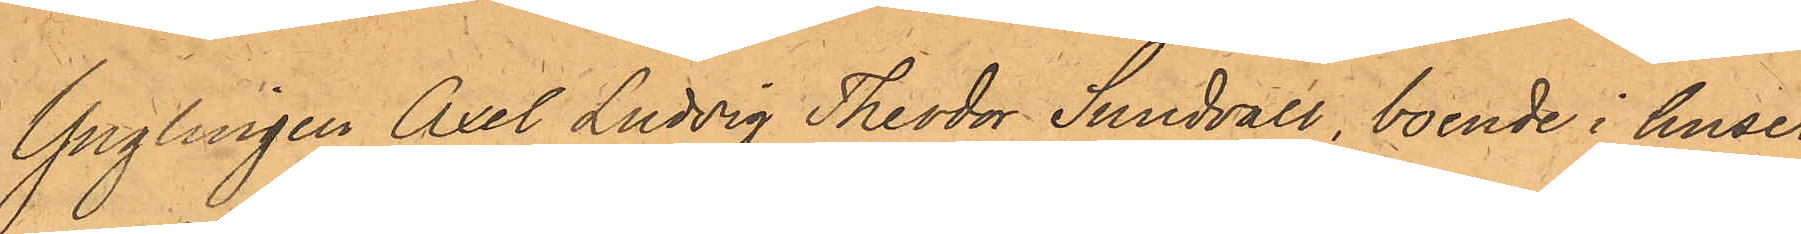Ynglingen Axel Ludvig Theodor Sundvall, boende i huset
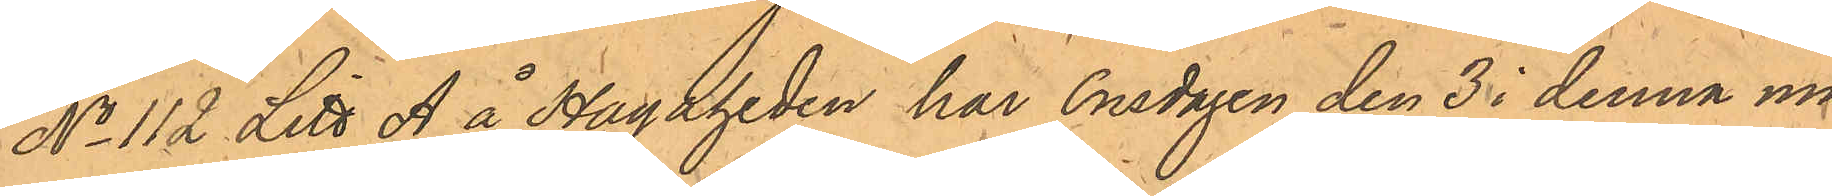No 112 Litt A å Hagaheden har Onsdagen den 3 i denna må¬
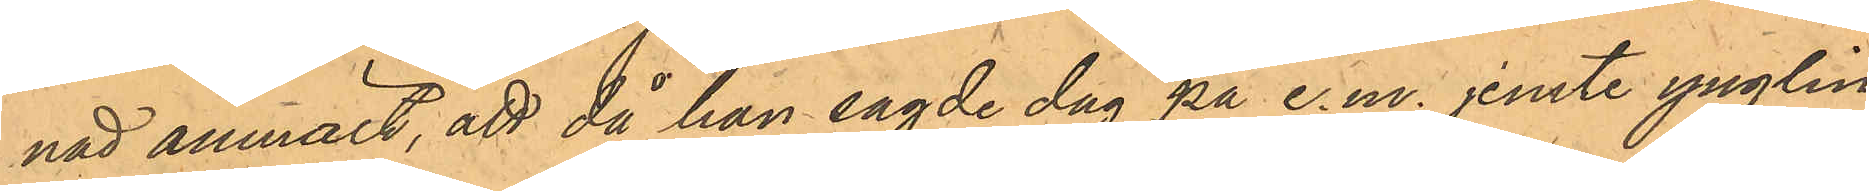nad anmält, att då han sagde dag på e.m. jemte ynglin-
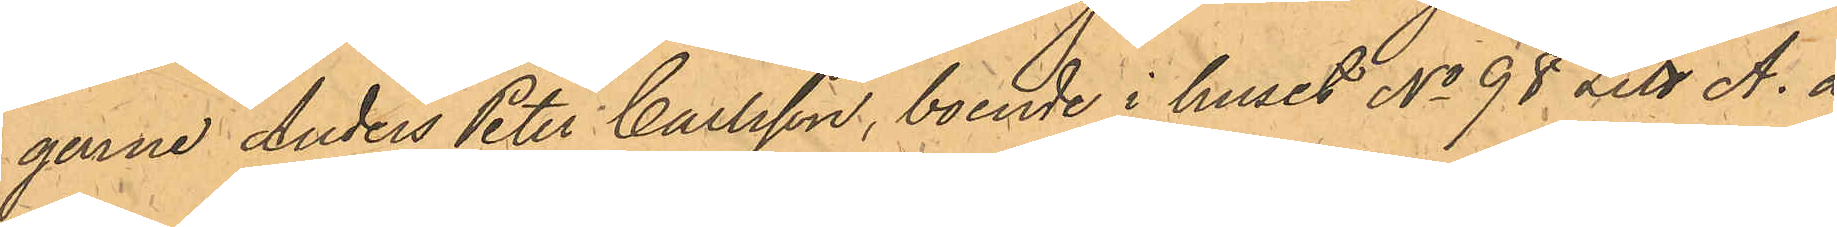garne Anders Peter Carlsson, boende i huset No 98 Litt A. å
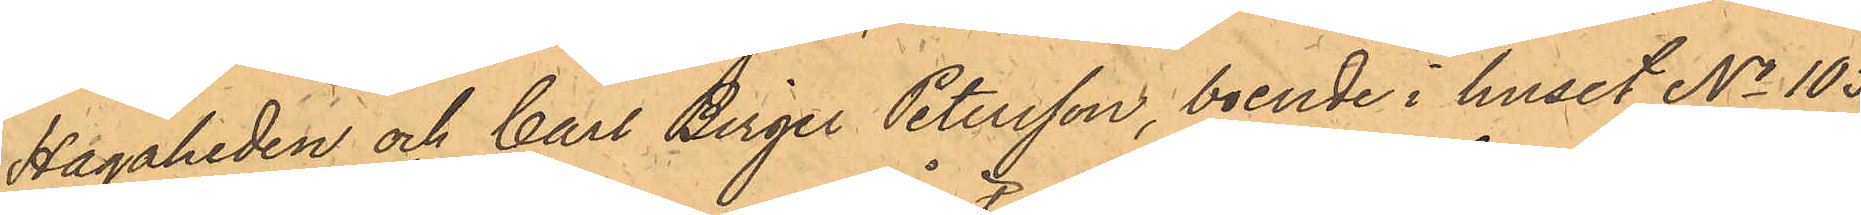Hagaheden och Carl Birger Petersson, boende i huset No 105
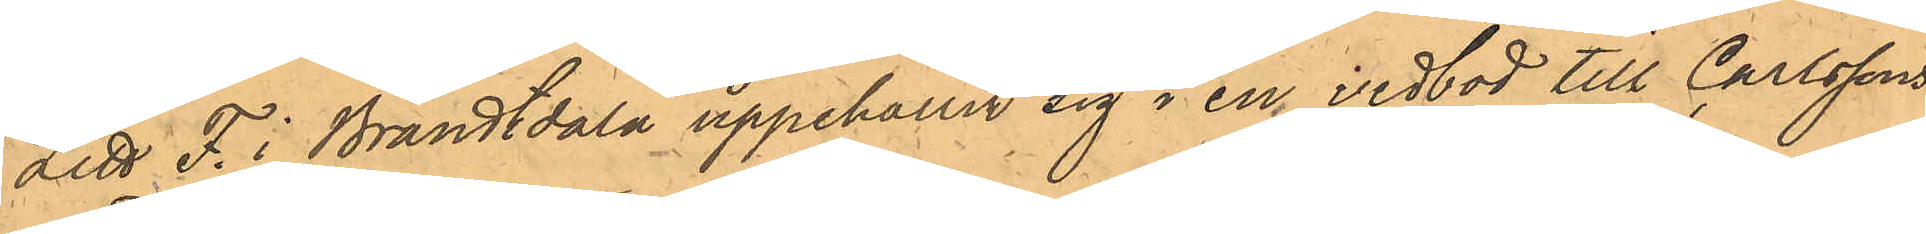litt. F. i Brandtdala uppehållit sig i en vedbod till Carlssons
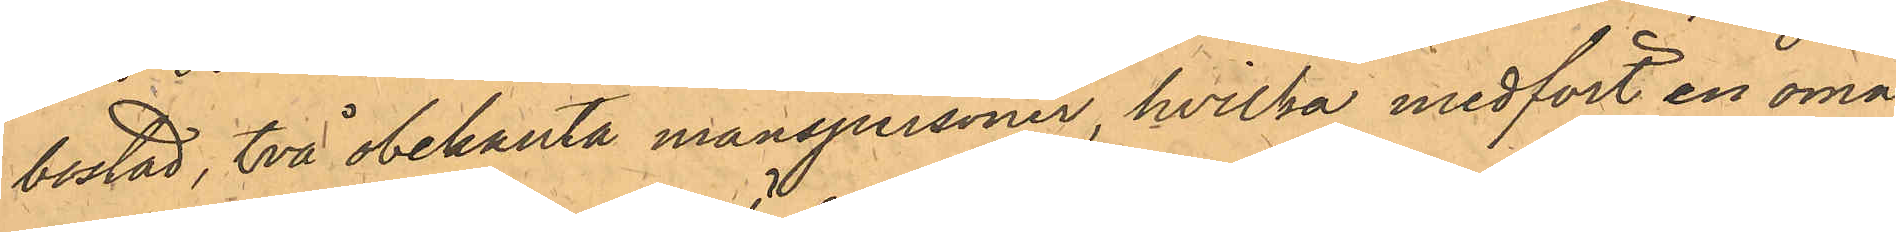bostad, två obekanta manspersoner, hvilka medfört en omå¬
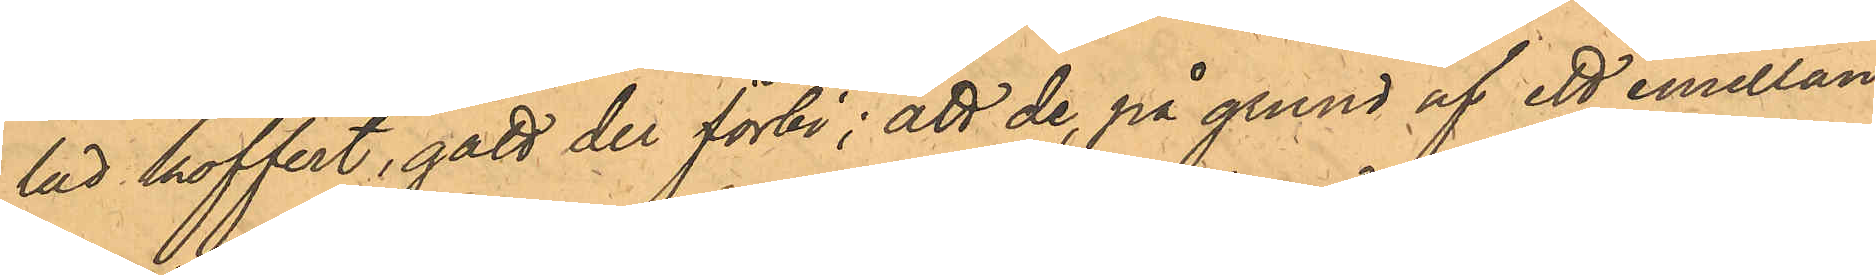lad koffert, gått der förbi; att de på grund af ett emellan
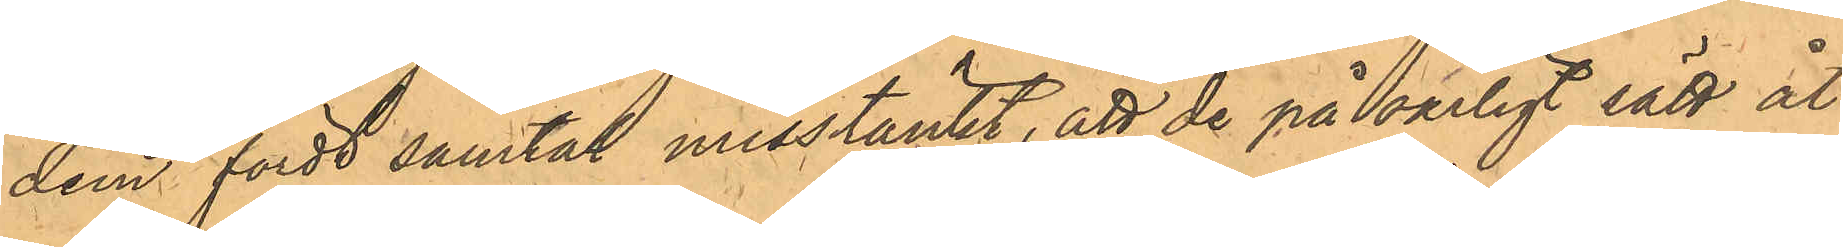dem fördt samtal misstänkt, att de på oärligt sätt åt¬
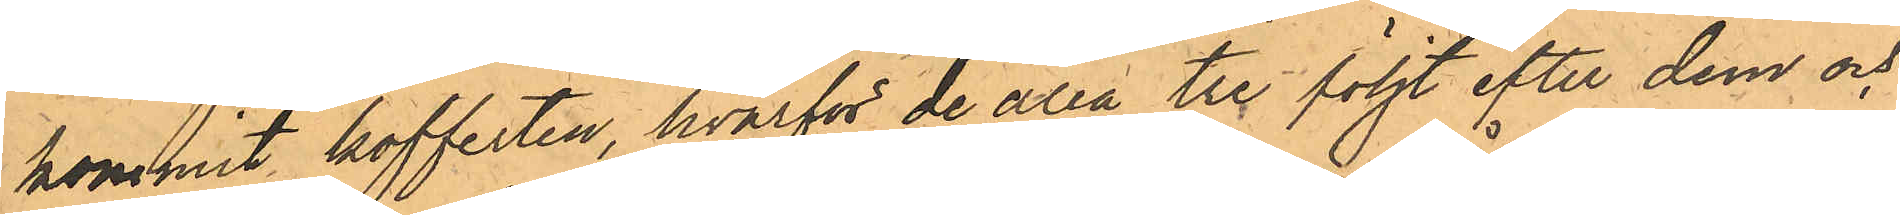kommit kofferten, hvarför de alla tre följt efter dem och
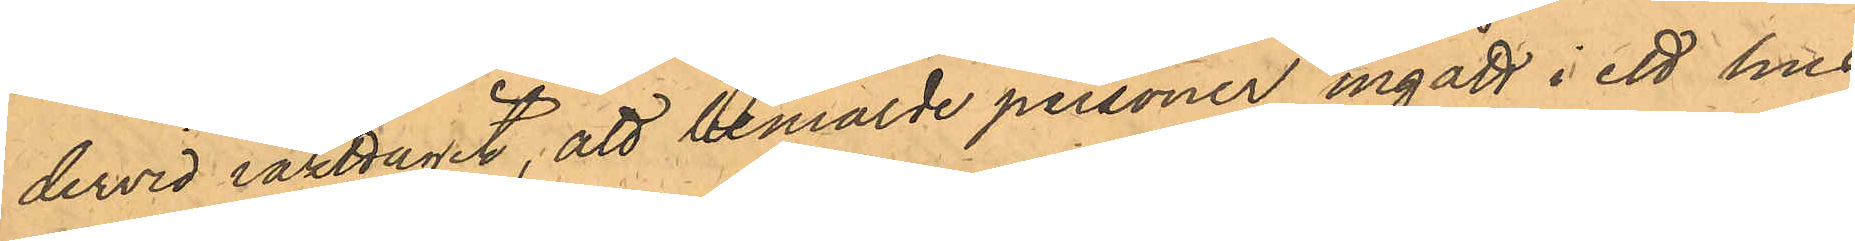dervid iakttagit, att bemälde personer ingått i ett hus
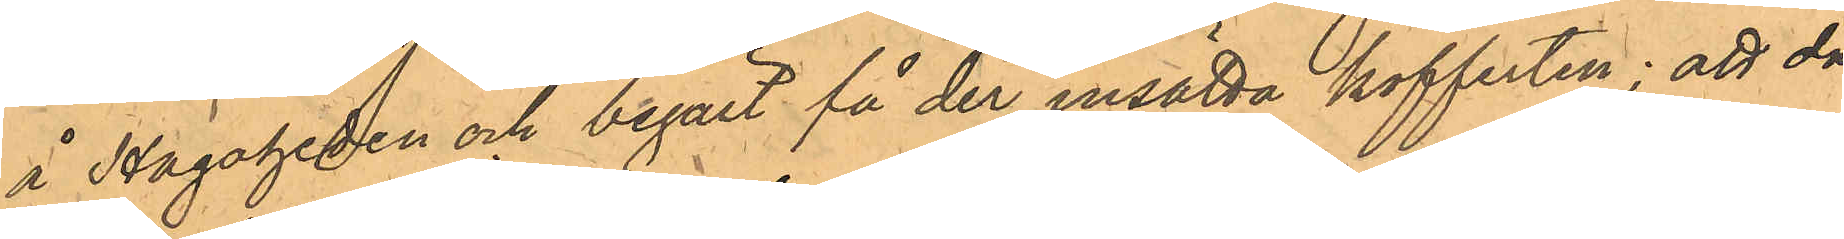å Hagaheden och begärt att få der insätta kofferten; att då
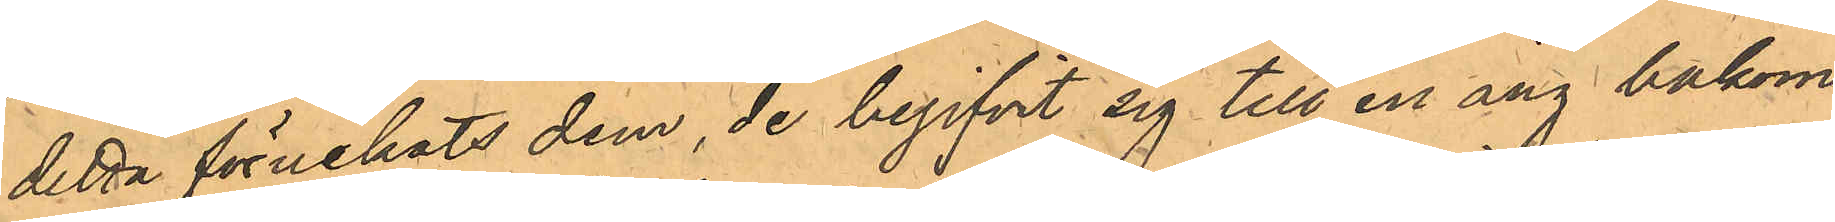detta förnekats dem, de begifvit sig till en äng bakom
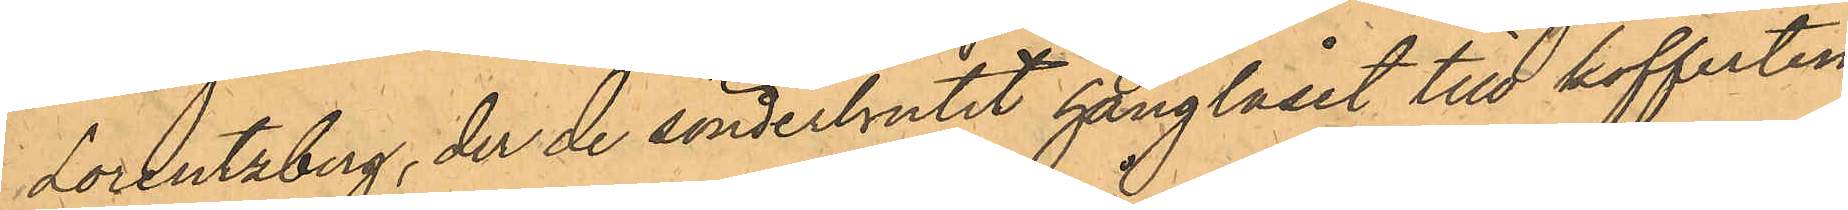Lorentzberg, der de sönderbrutit hänglåset till kofferten,
